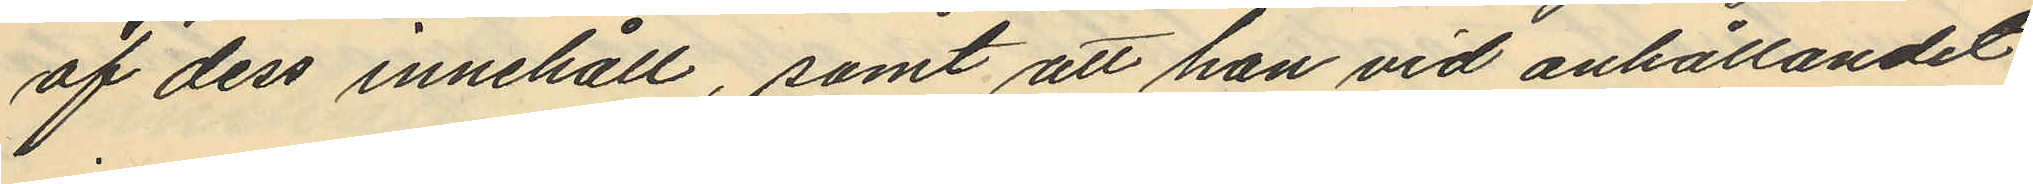af dess innehåll, samt att han vid anhållandet
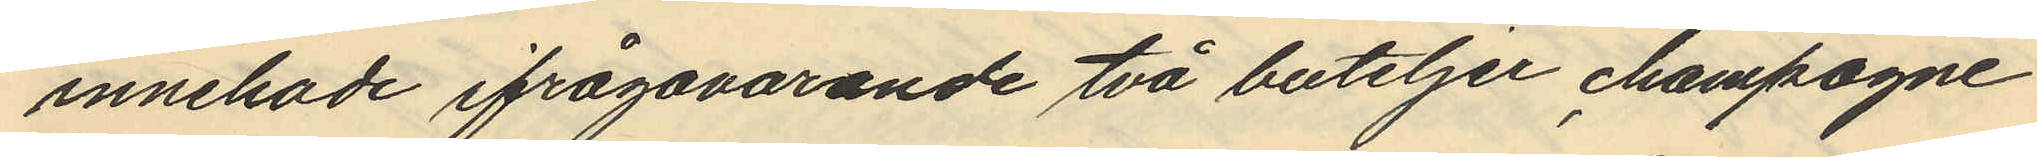innehade ifrågavarande två buteljer champagne
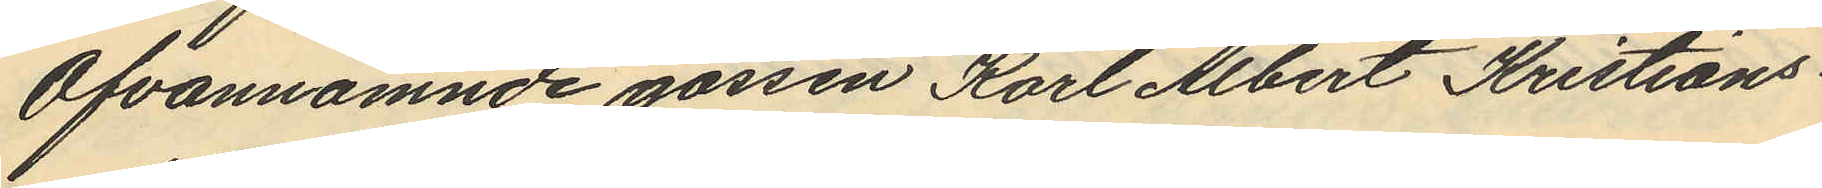Ofvannämnde gossen Karl Albert Kristians¬
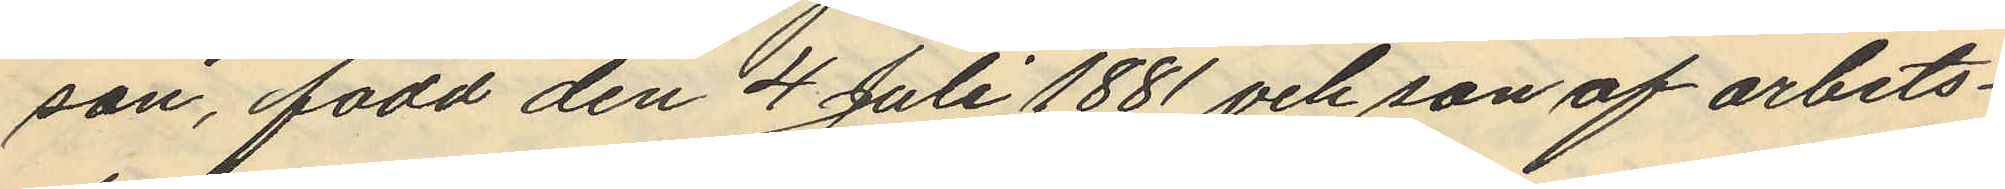son, född den 4 Juli 1881 och son af arbets¬
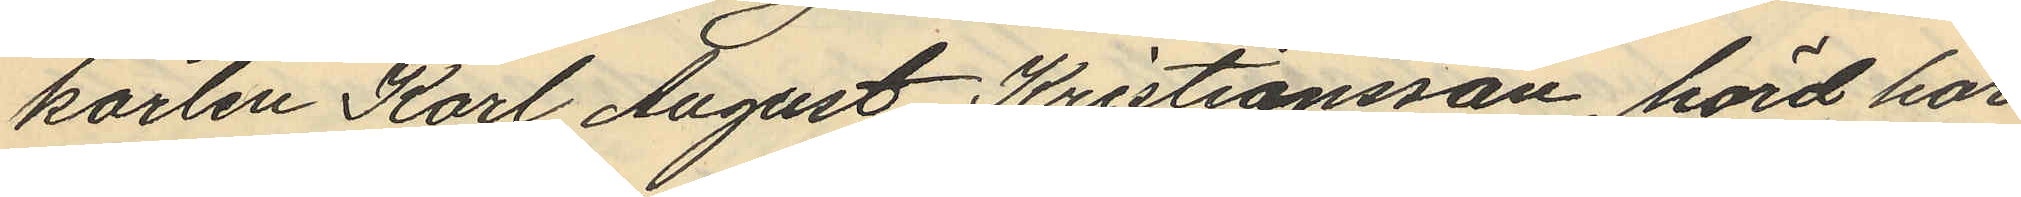karlen Karl August Kristiansson, hörd har
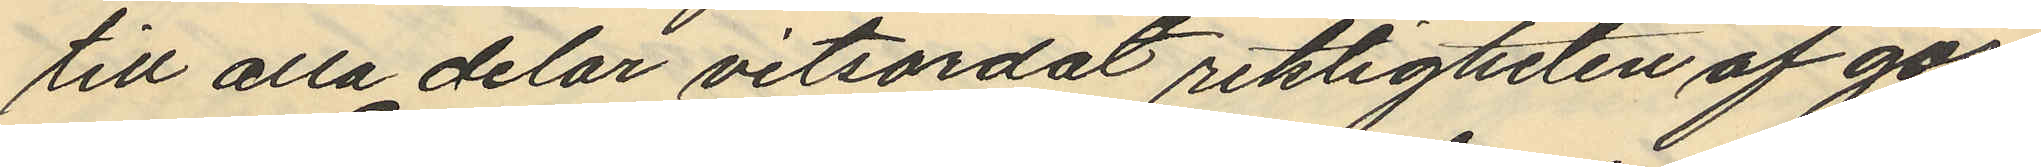till alla delar vitsordat riktigheten af gos¬
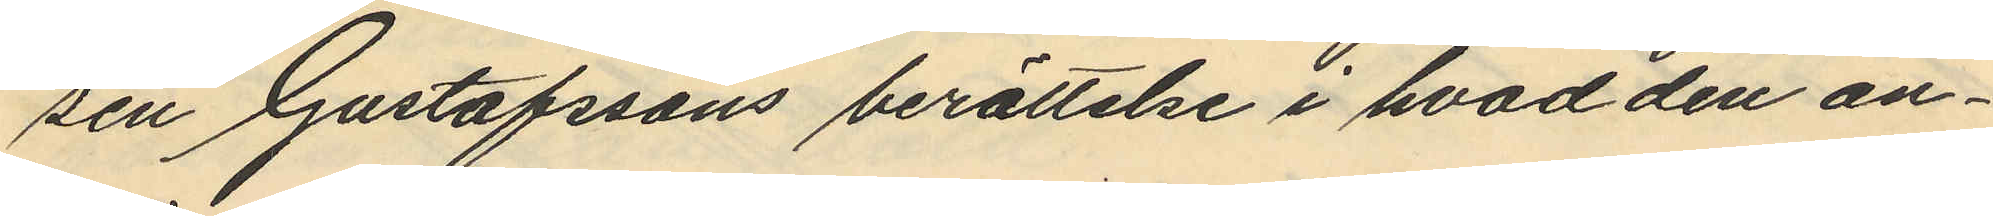sen Gustafssons berättelse i hvad den an¬
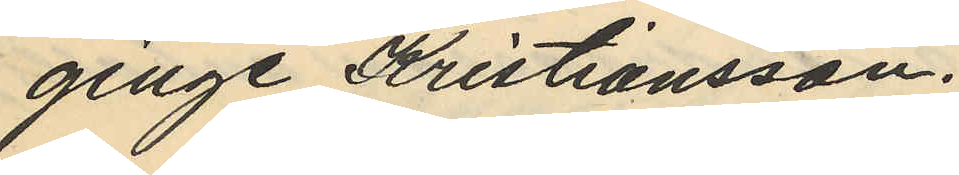ginge Kristiansson.
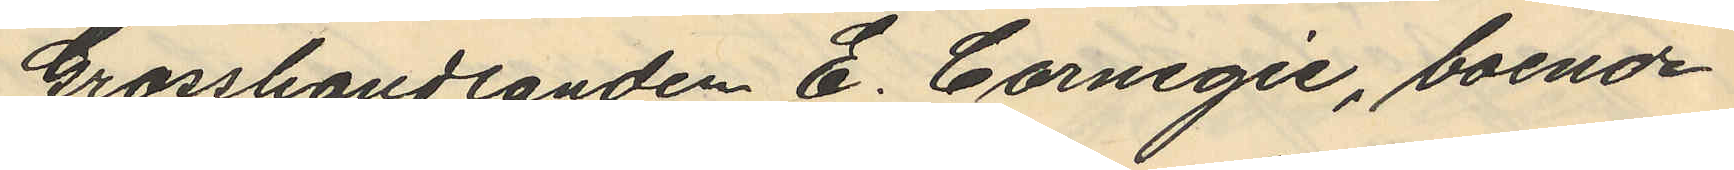Grosshandlanden E. Carnegie, boende
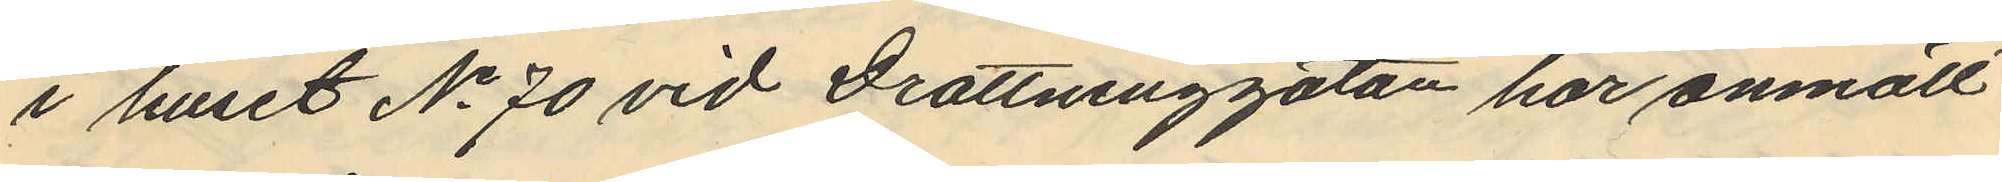i huset No 70 vid Drottninggatan har anmält
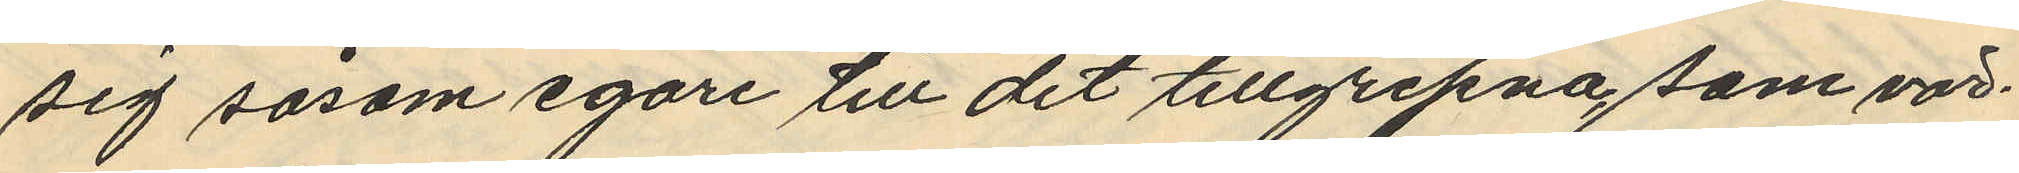sig såsom egare till det tillgripna, som vär¬
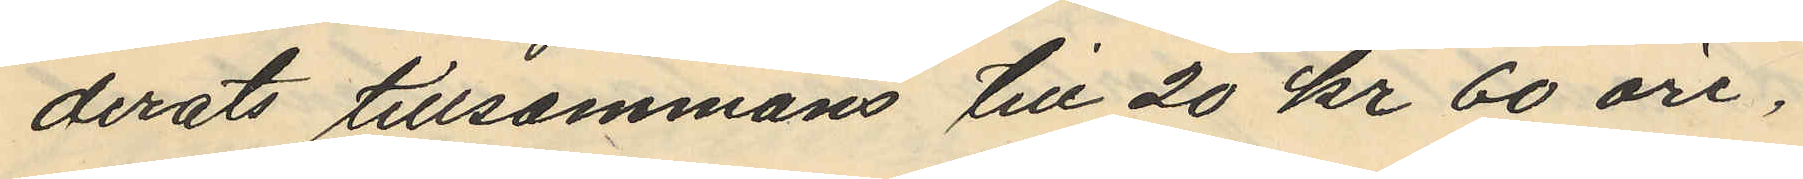derats tillsammans till 20 kr 60 öre,
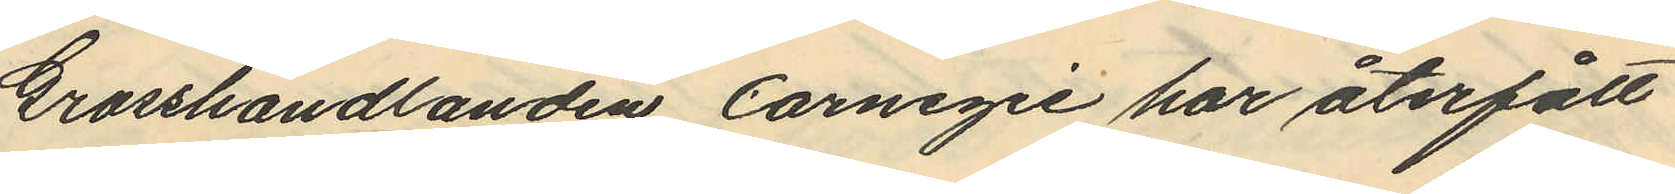Grosshandlanden Carnegie har återfått
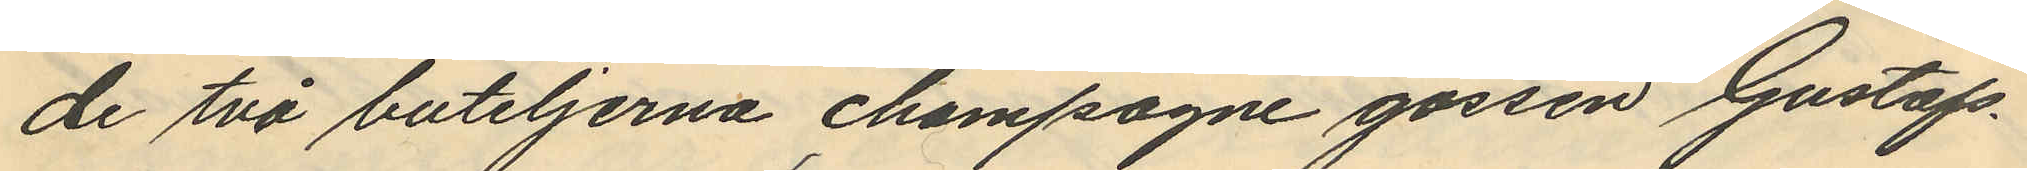de två buteljerna champagne gossen Gustafs¬
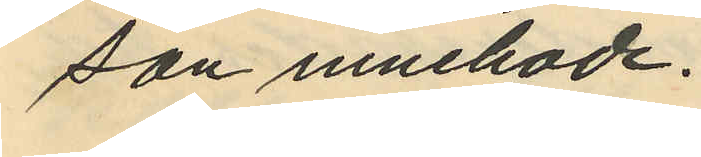son innehade.
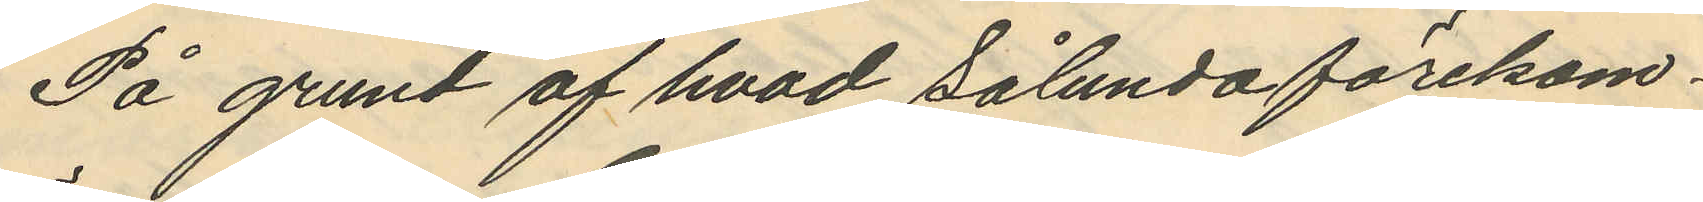På grund af hvad sålunda förekom¬
